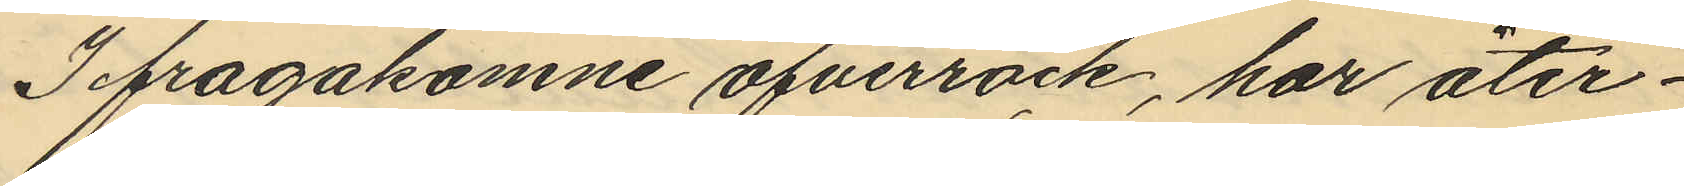Ifragakomne öfverrock, har åter¬
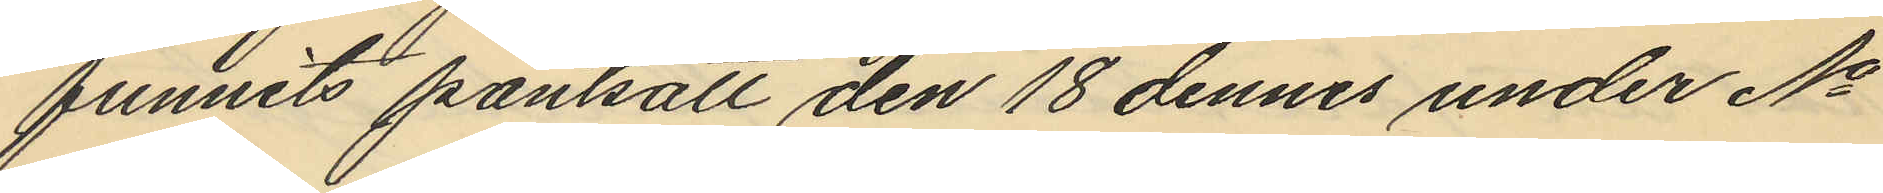funnits pantsatt den 18 dennes under No
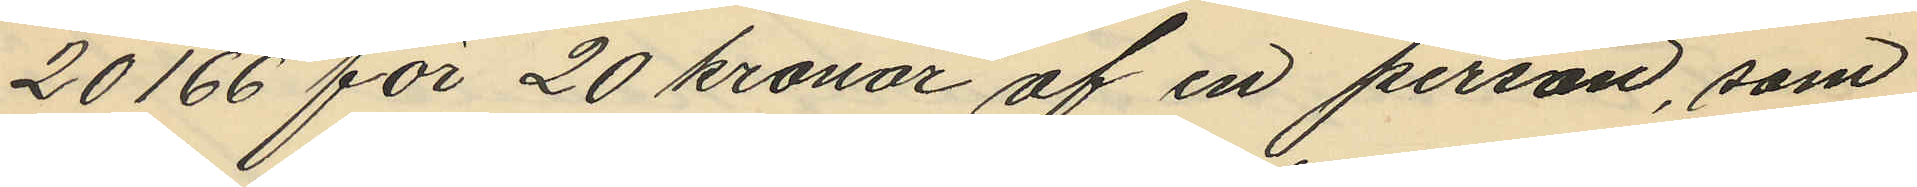20166 för 20 kronor af en person, som
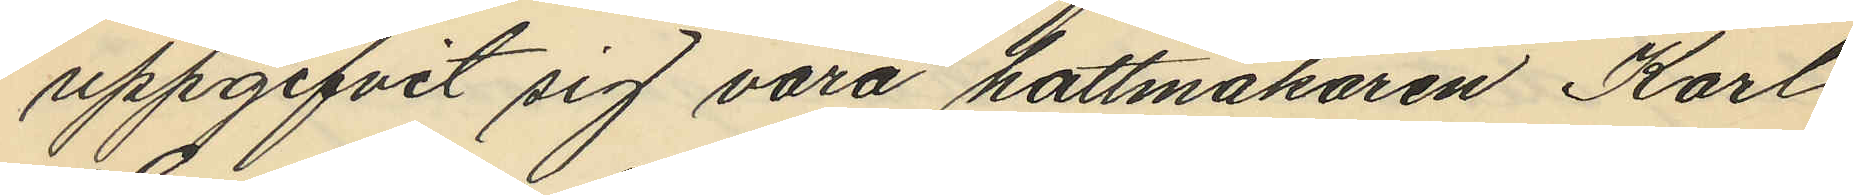uppgifvit sig vara hattmakaren Karl
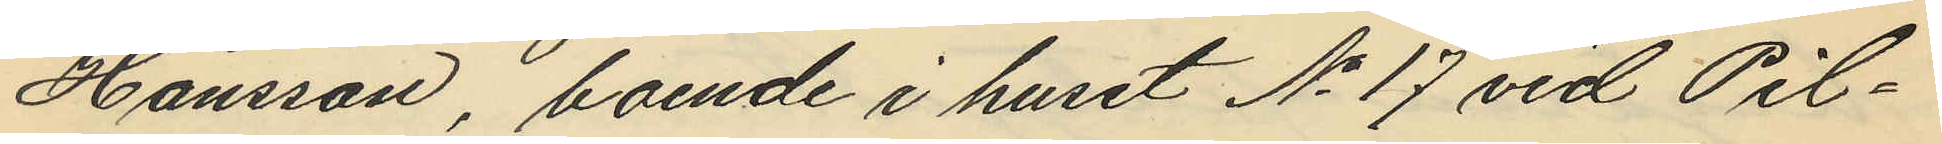Hansson, boende i huset No 17 vid Pil¬
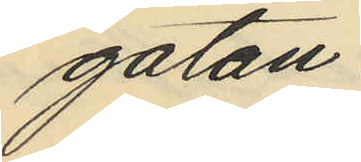gatan.
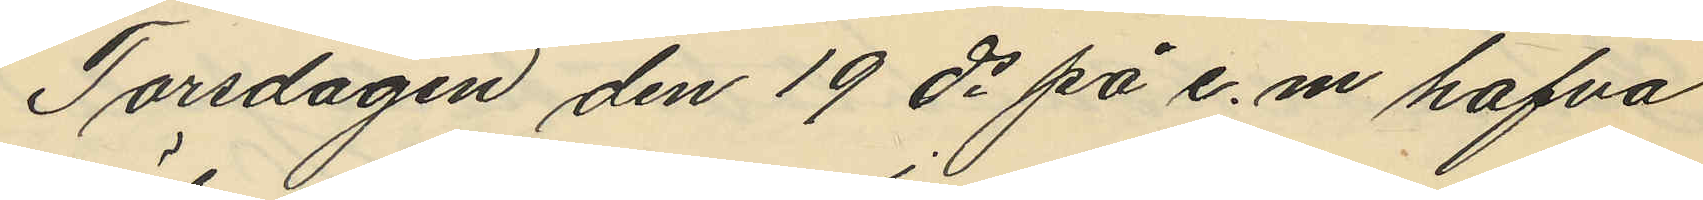Torsdagen den 19 ds på e.m hafva
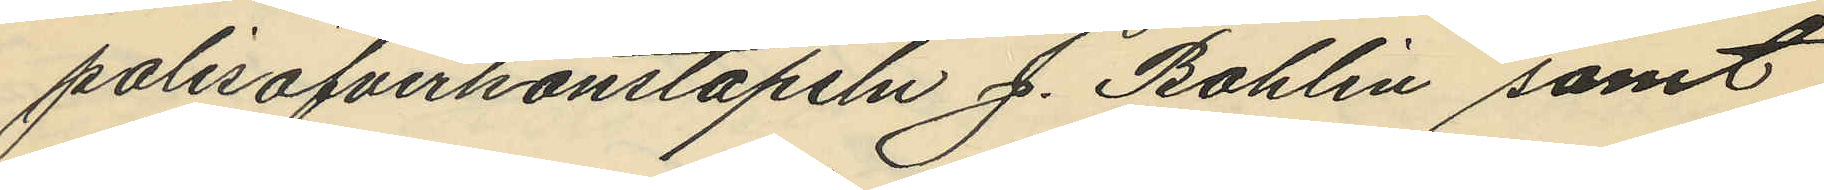polisöfverkonstapeln J. Bohlin samt
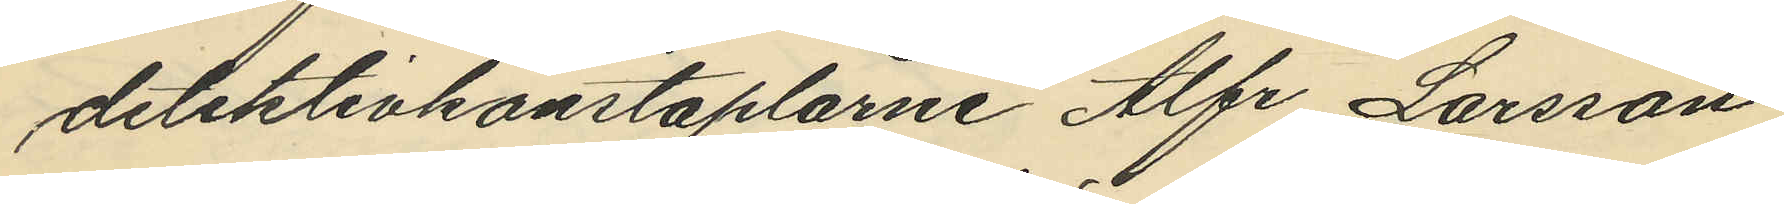detektivkonstaplarne Alfr. Larsson
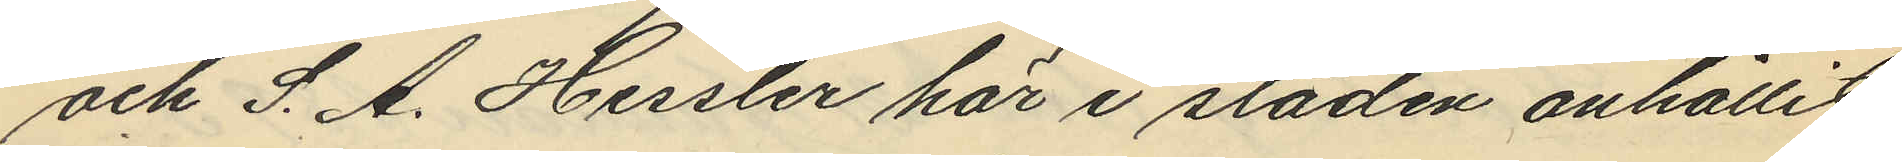och S. A. Hessler här i staden anhållit
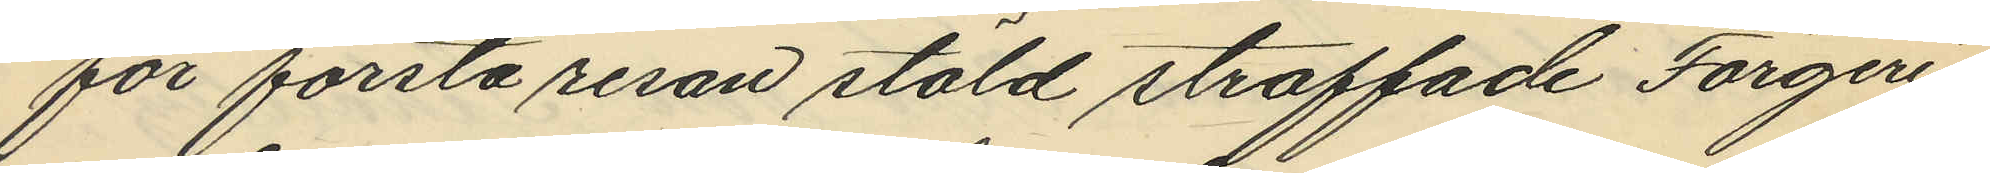för första resan stöld straffade Färgeri¬
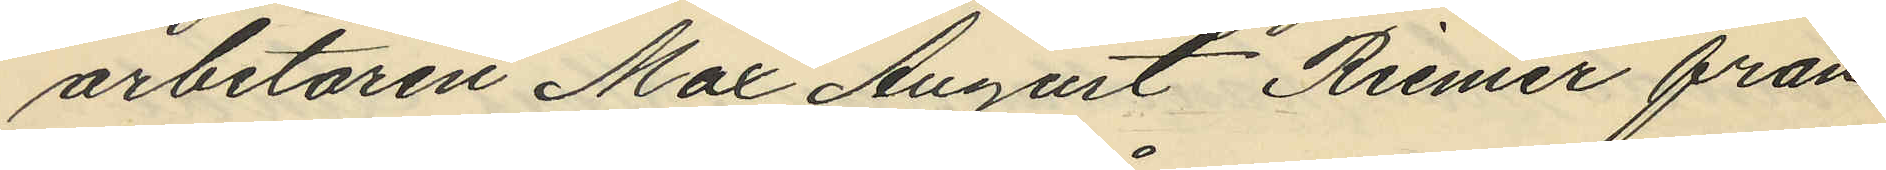arbetaren Max August Riemer från
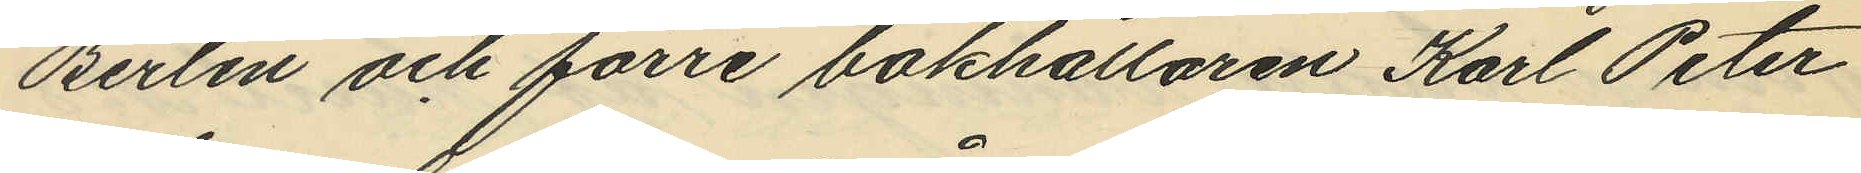Berlin och förre bokhållaren Karl Peter
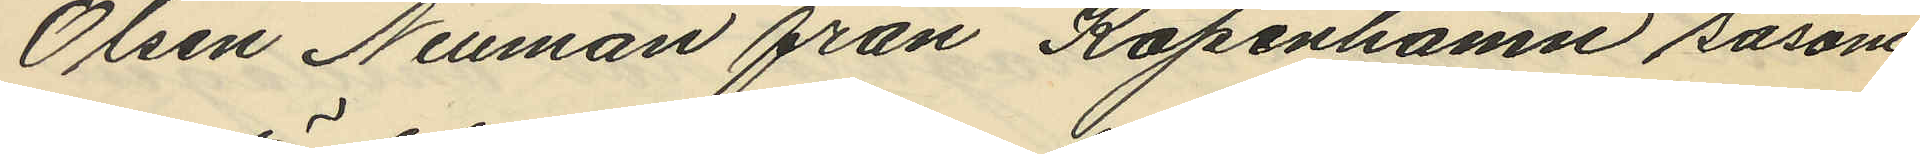Olsen Neuman från Köpenhamn såsom
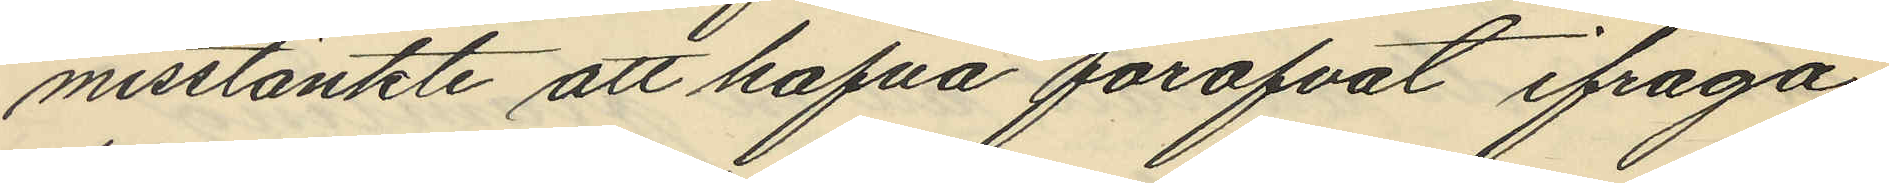misstänkte att hafva föröfvat ifråga¬
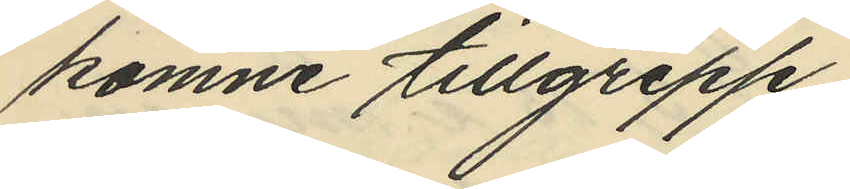komne tillgrepp.
